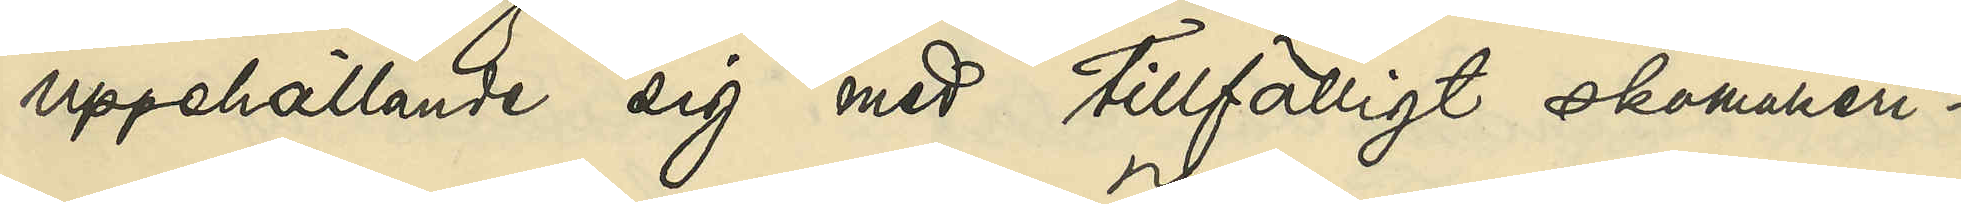uppehållit sig med tillfälligt skomakeri¬
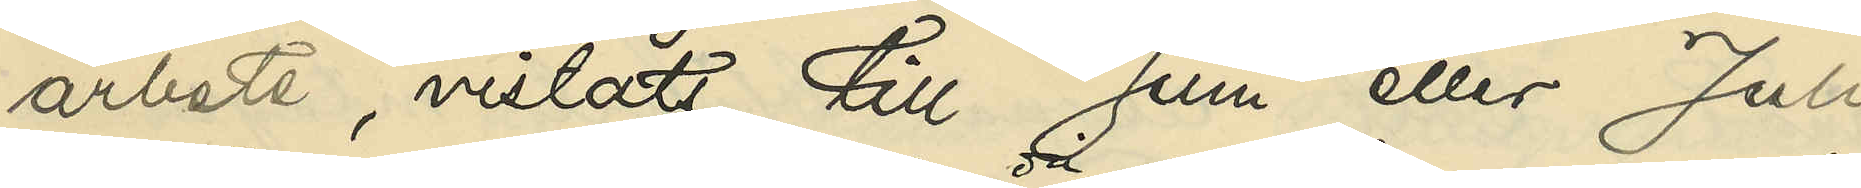arbete, vistats till Juni eller Juli
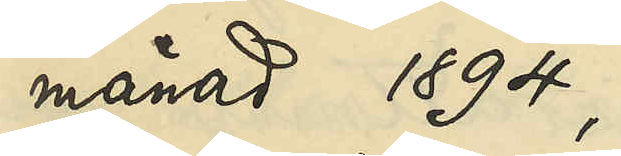månad 1894,
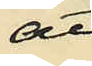att
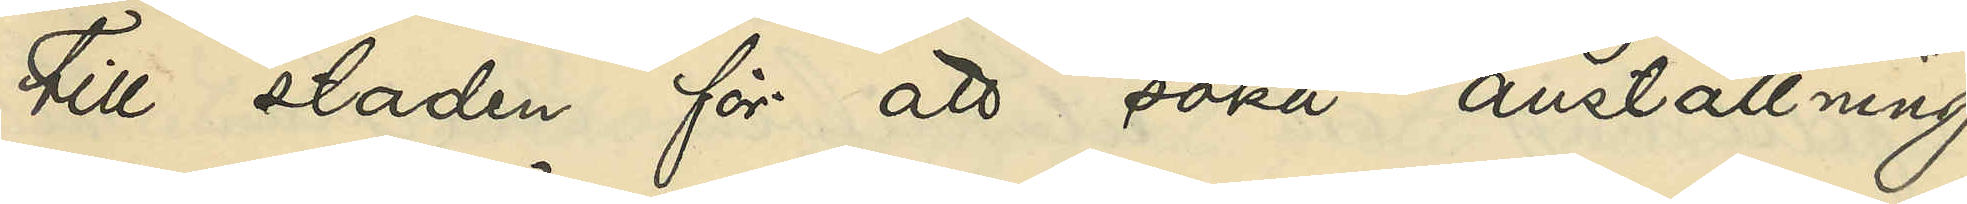till staden för att söka anställning,
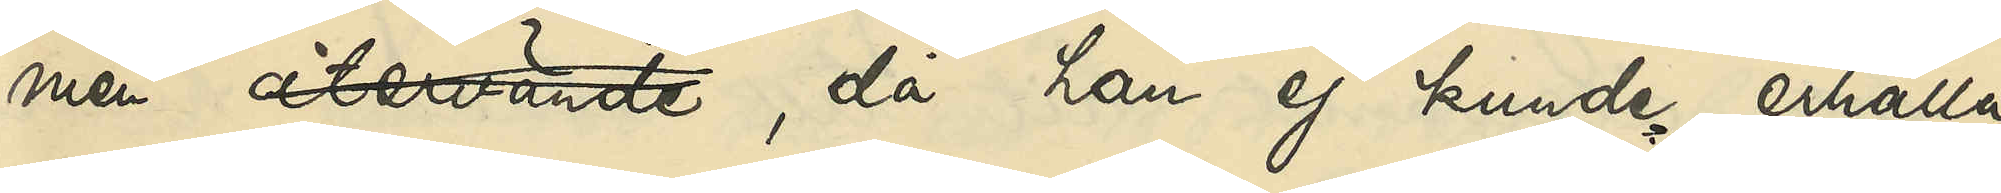men återvände, då han ej kunde erhålla
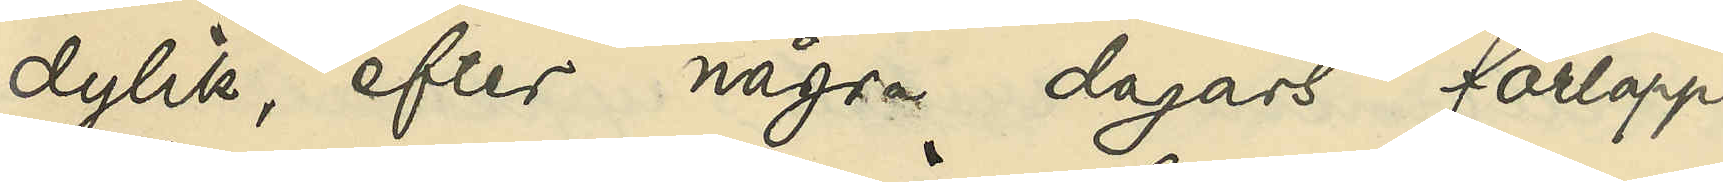dylik, efter några dagars förlopp
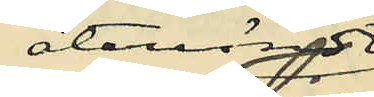återvändt
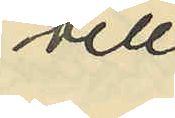till
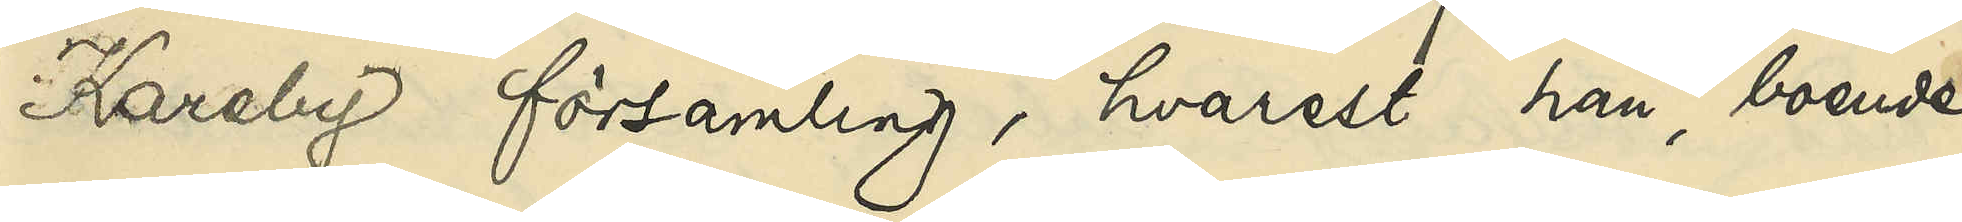Kareby församling, hvarest han, boende
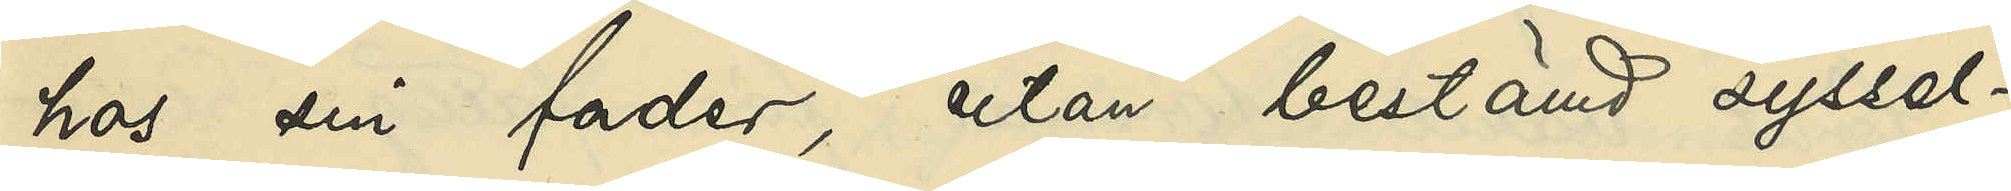hos sin fader, utan bestämd syssel¬
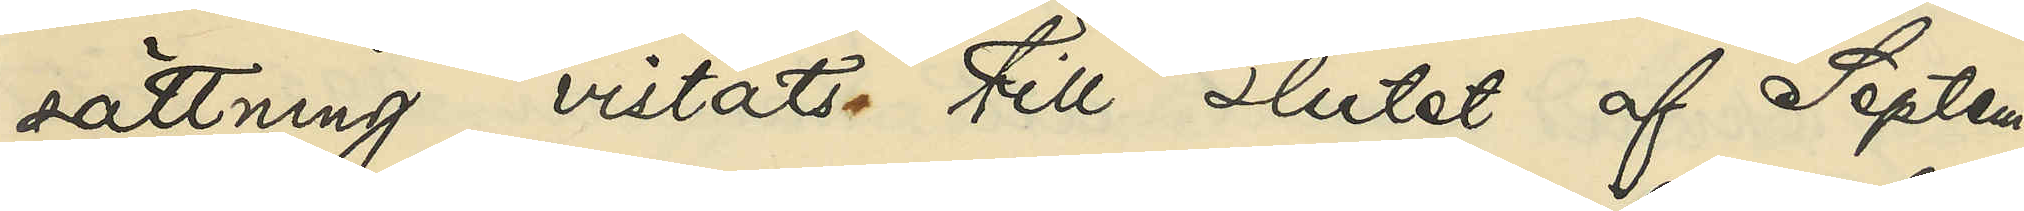sättning vistats till slutet af Septem¬
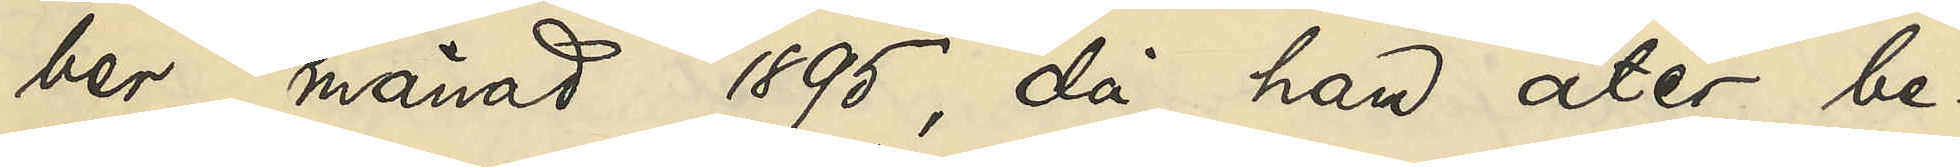ber månad 1895, då han åter be¬
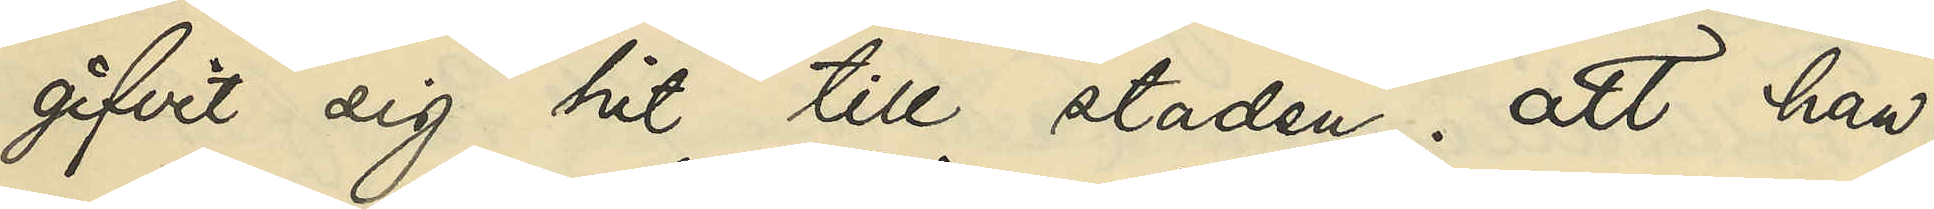gifvit sig hit till staden; att han,
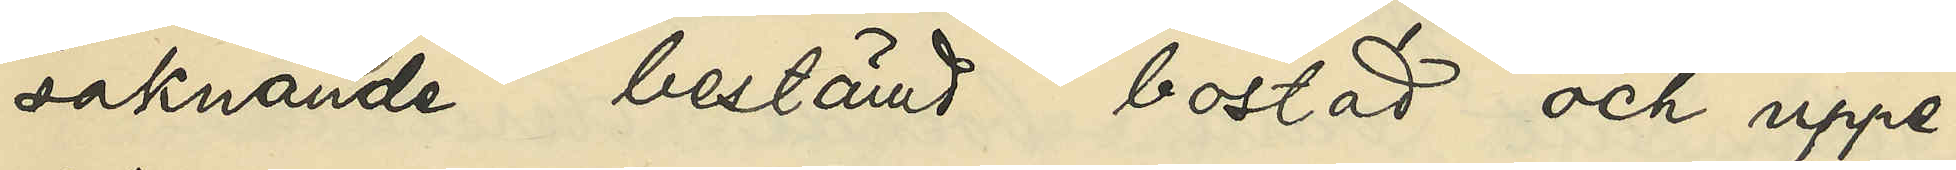saknade bestämd bostad och uppe¬
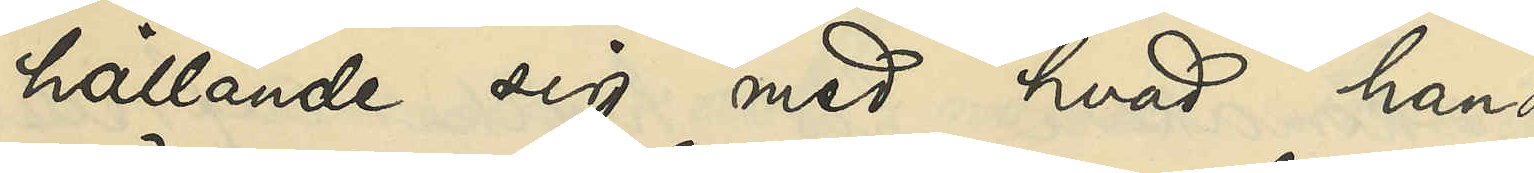hållande sig med hvad han
